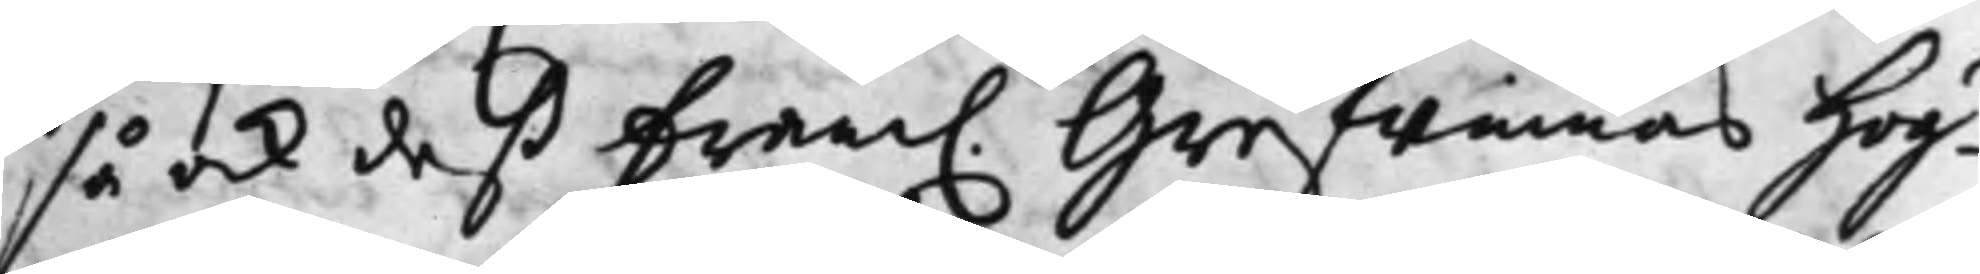så ock deß Fram. Grefwinnas Hög¬
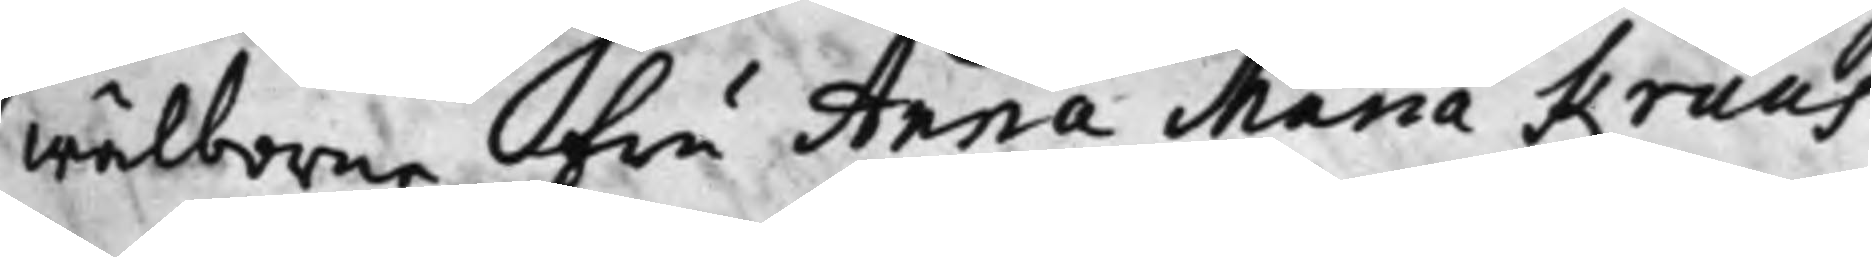wälborne Fru Anna Maria Kruus
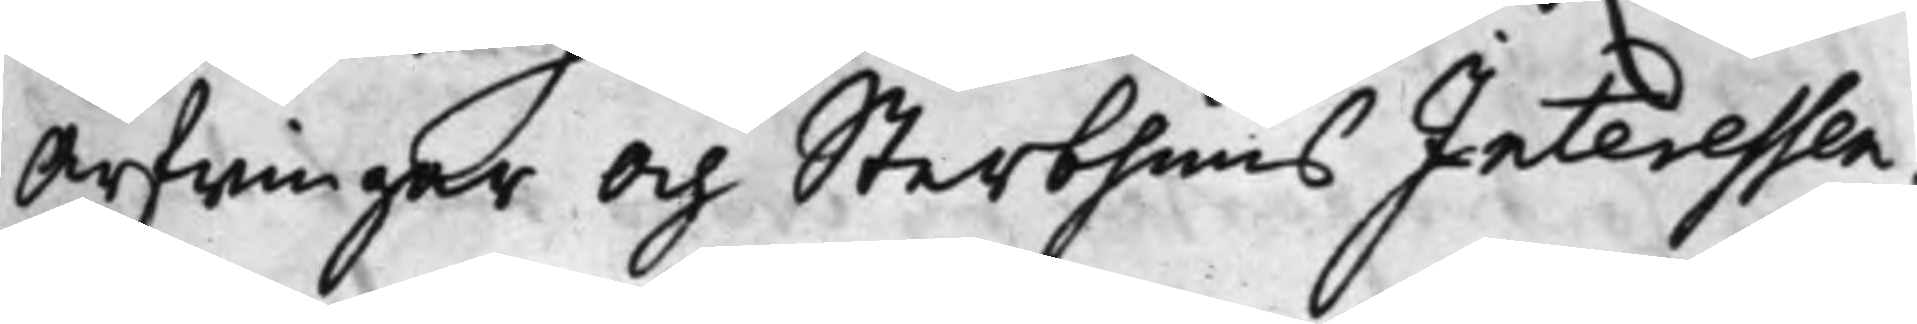Arfwingar Och SterbhuusInteressen¬
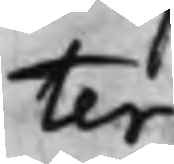ter
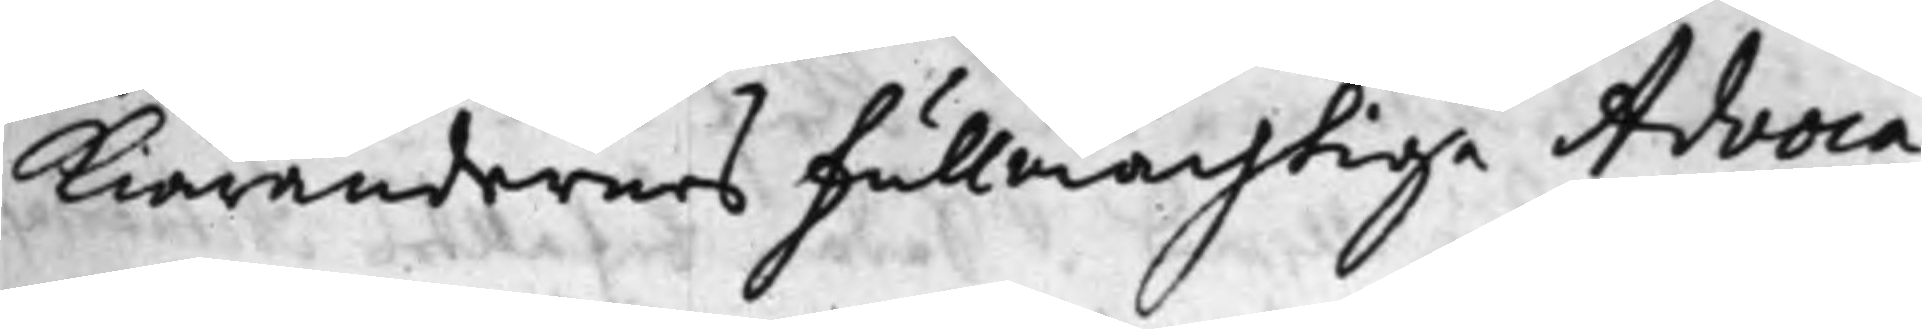Kiärendernes Fullmächtige Advoca¬
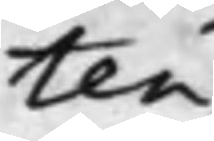ten
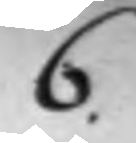6
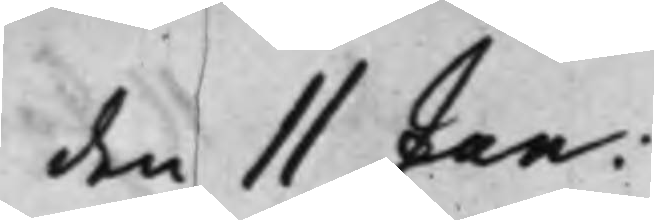den 11 Jan:
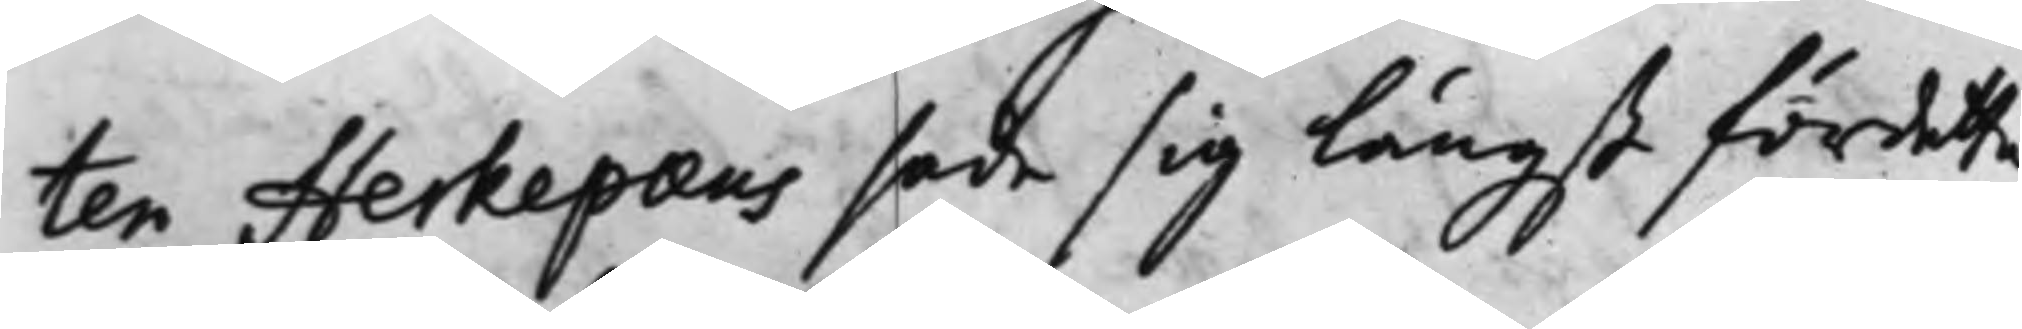ten Herkepaeus sade sig längst för detta
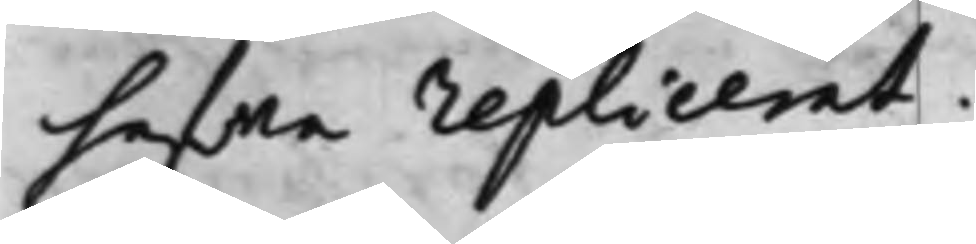hafwa replicerat.
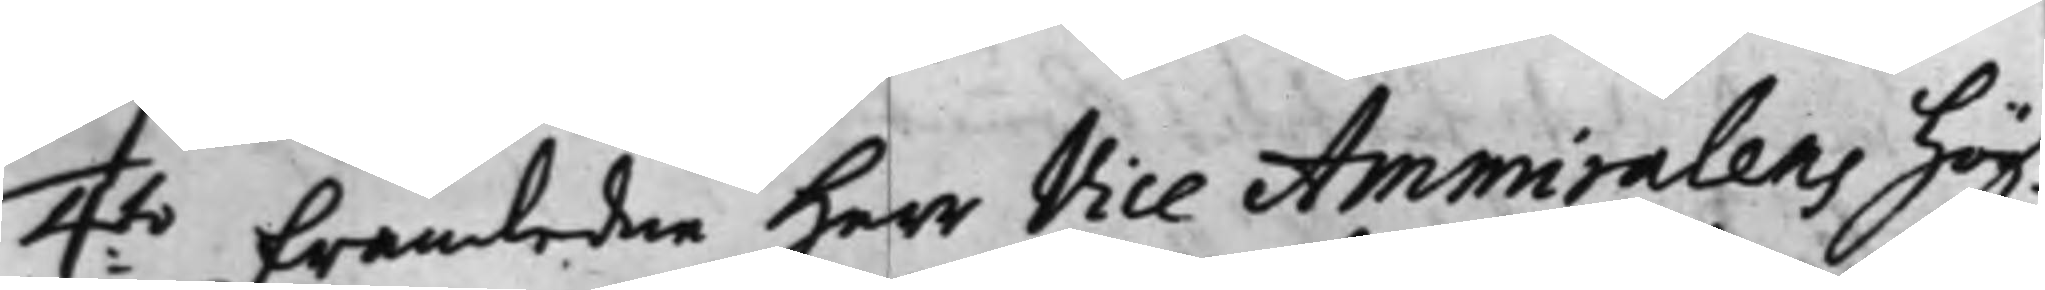4:to Framledne Herr Vice Ammiralens Hög¬
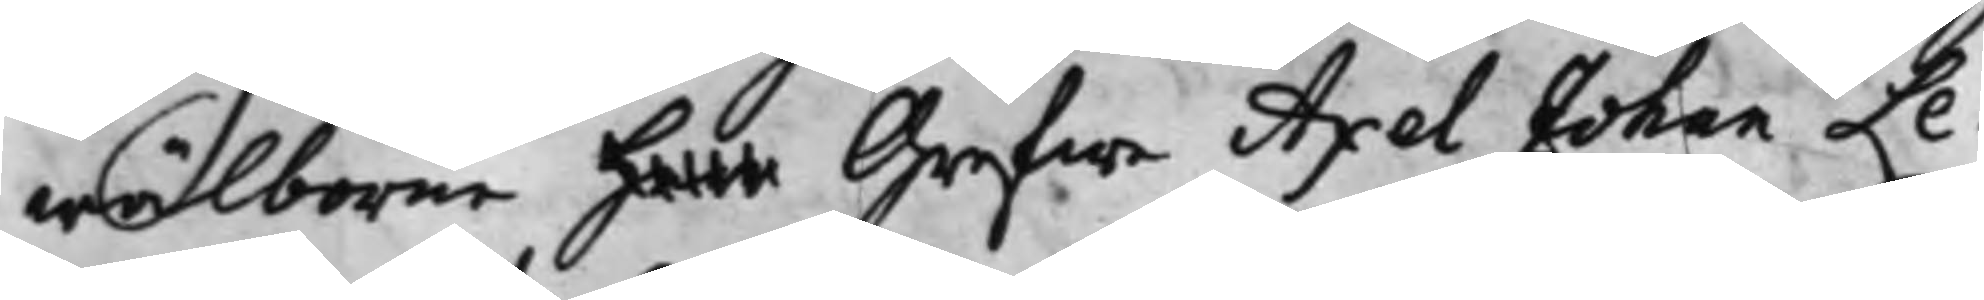wälborne Herr Grefwe Axel Johan Le¬
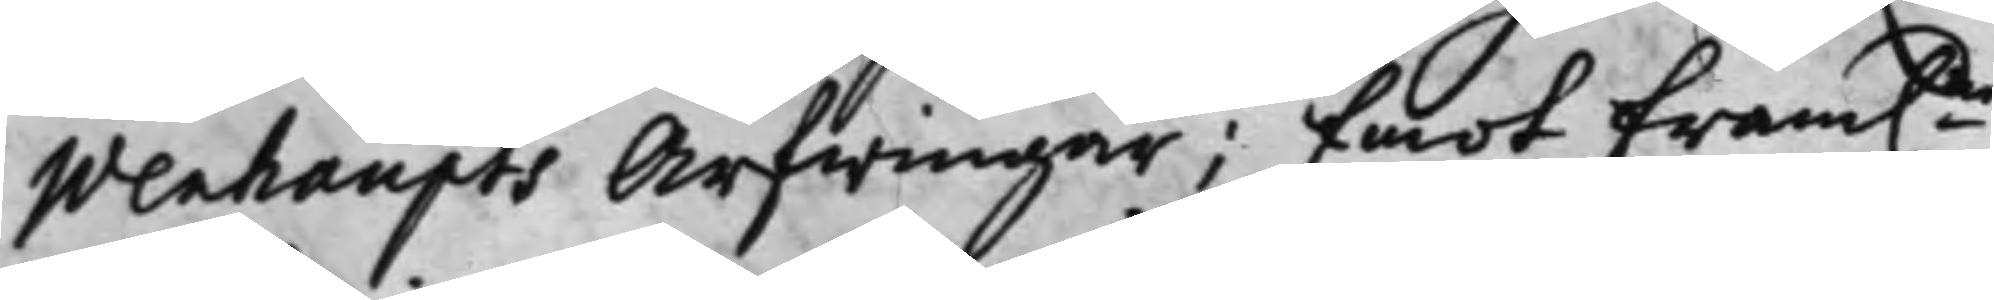wenhaupts Arfwingar; Emot Fram.ne
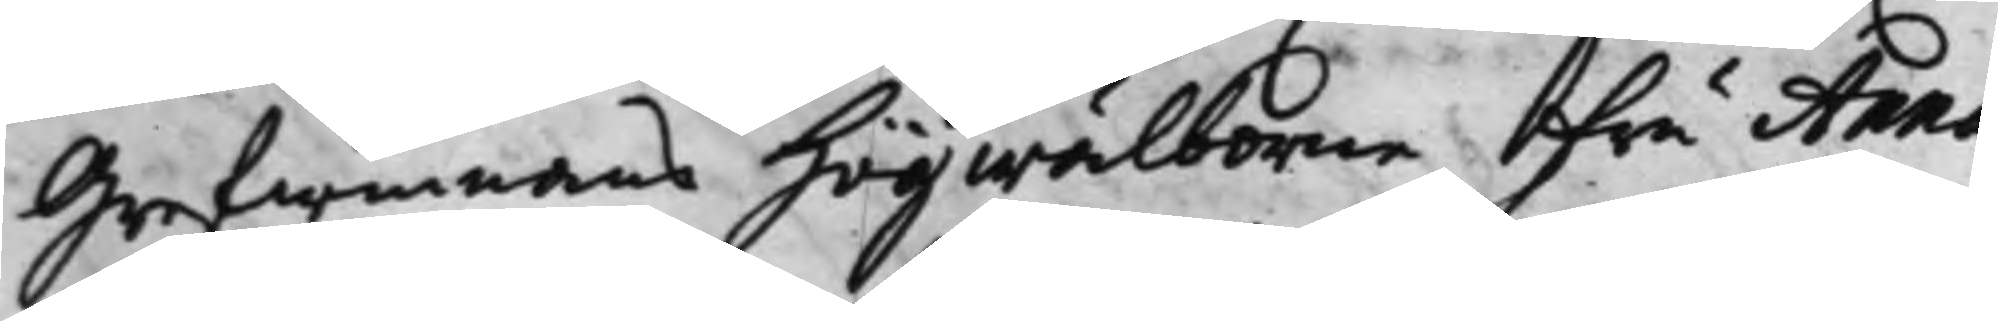Grefwinnans Högwälborne Fru Anna
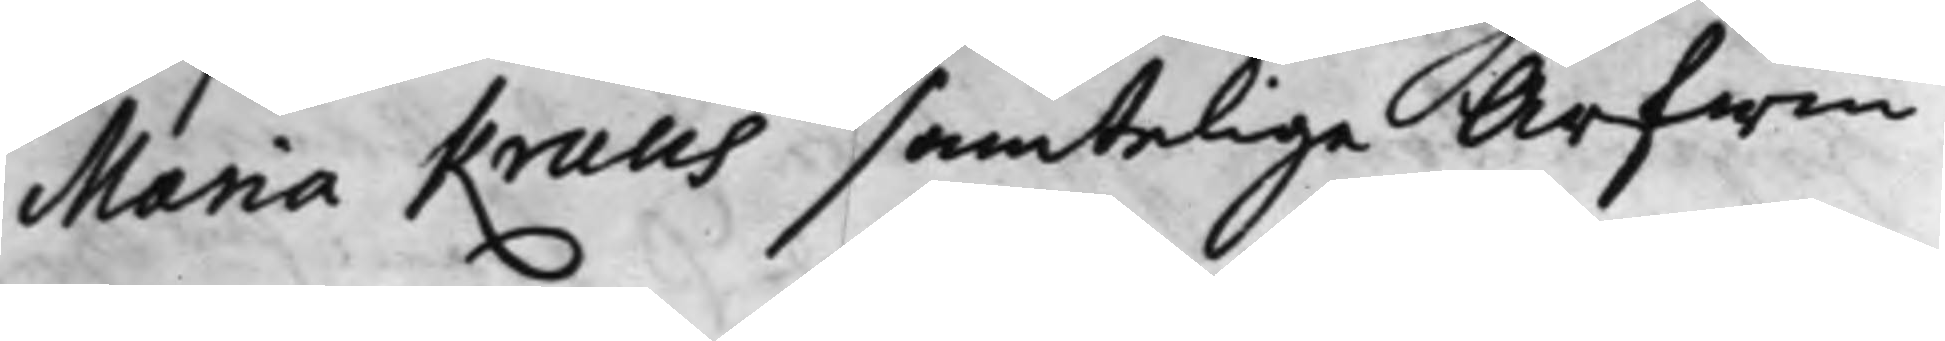Maria Kruus samteliga Arfwin¬
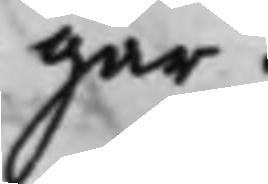gar.
